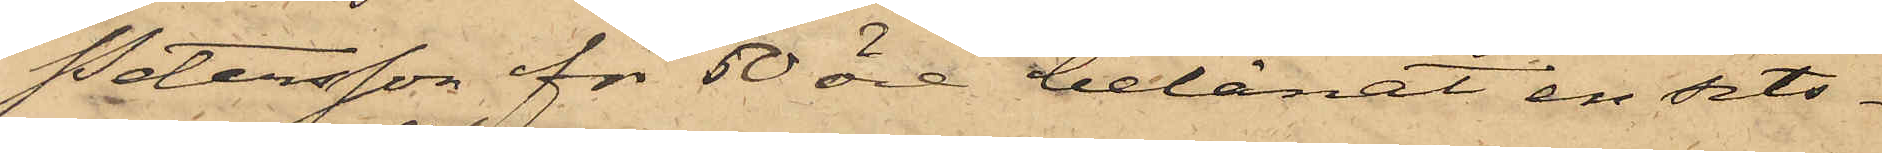Petersson för 50 öre belånat en sits¬
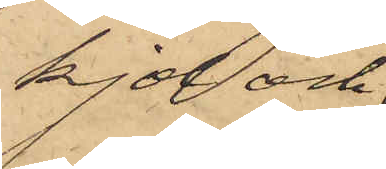kjol och
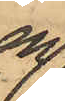en
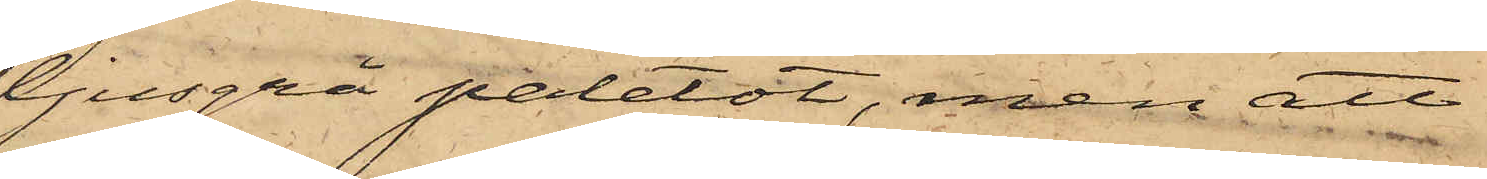ljusgrå paletot, men att
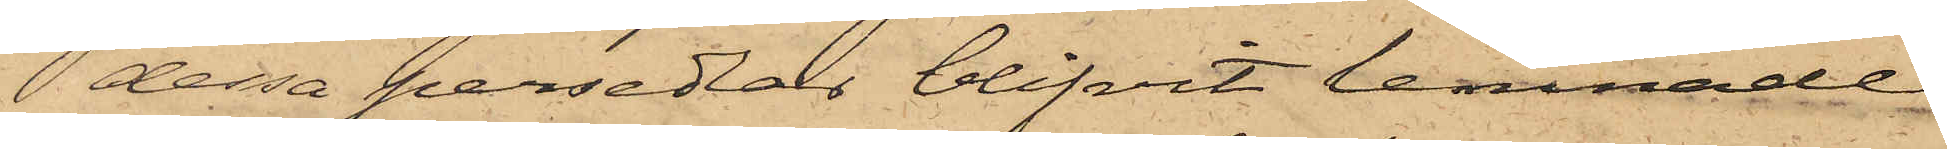dessa persedlar blifvit lemnade
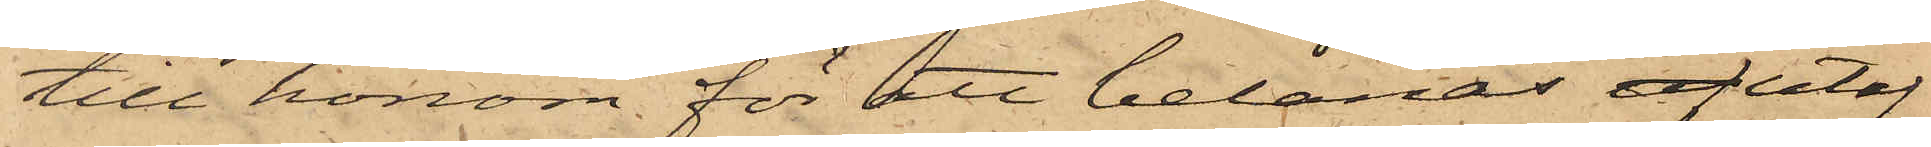till honom för att belånas af utaf
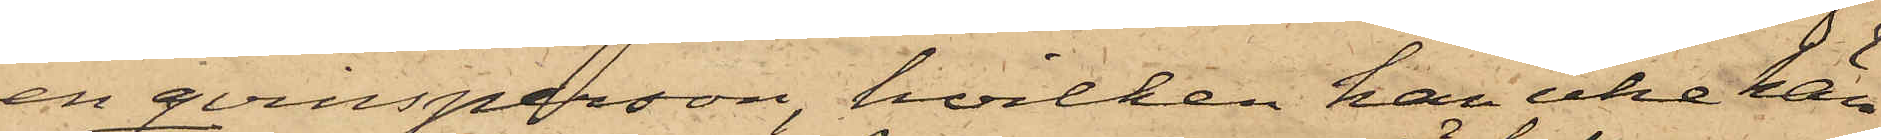en qvinsperson, hvilken han icke kän¬
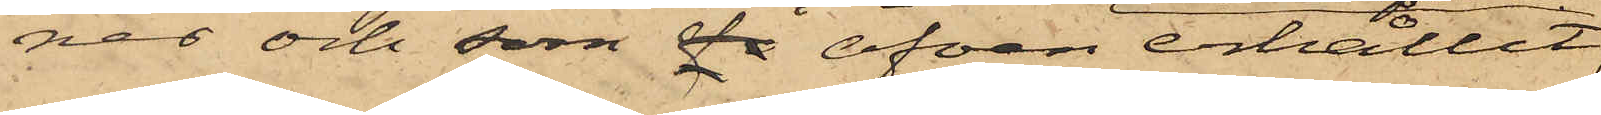ner och som då äfven erhållit
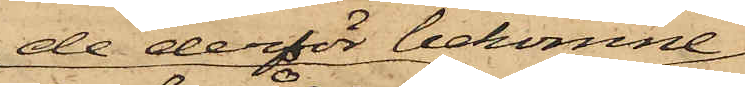de derför bekomne
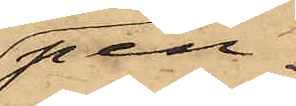pen¬
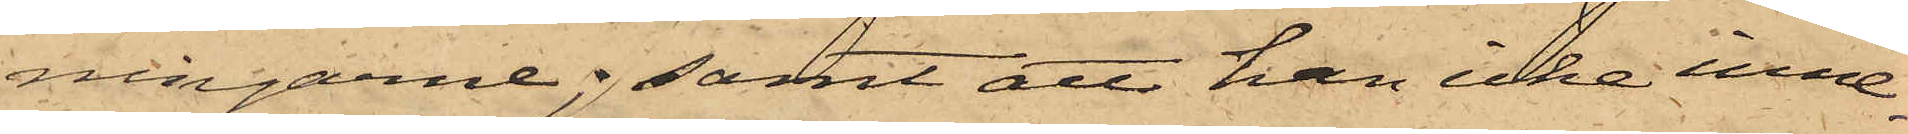ningarne; samt att han icke inne¬
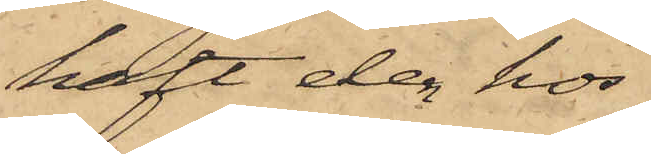haft den hos
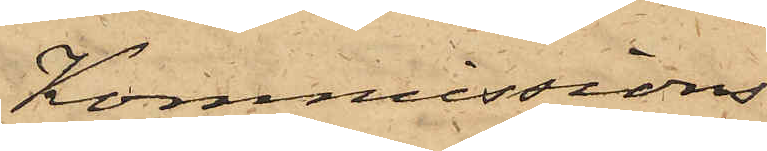Kommissions¬
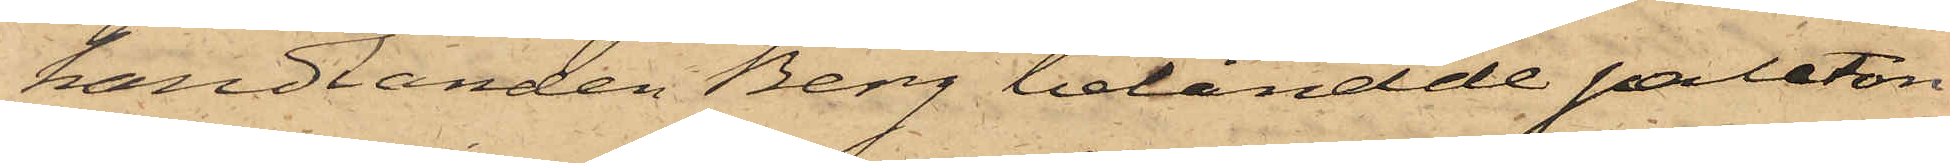handlanden Berg belånade paleton
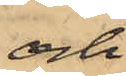och
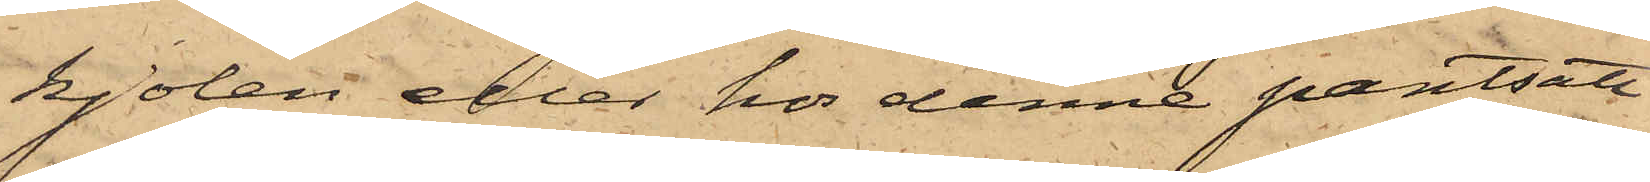kjolen eller hos denne pantsatt
